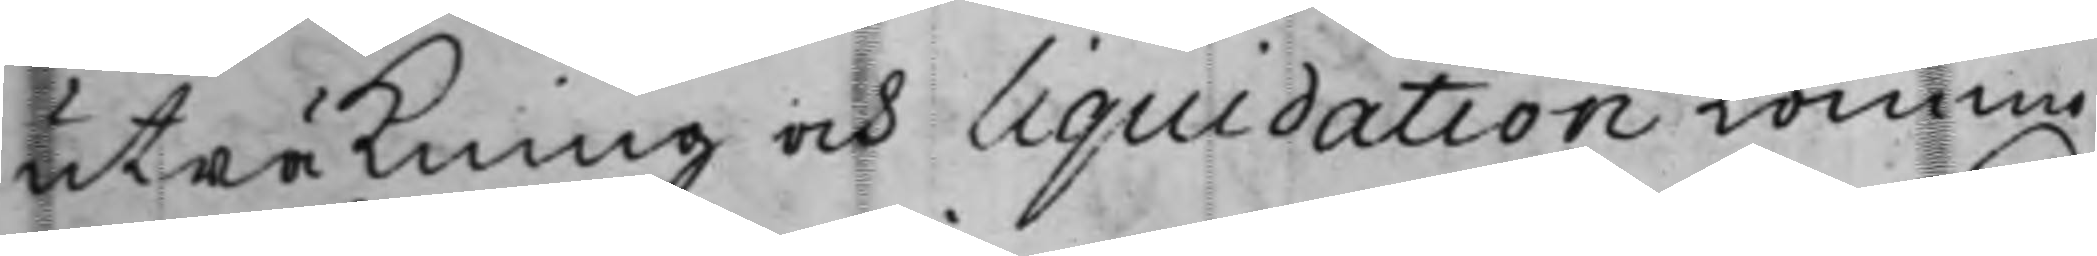uträkning och liquidation kommo
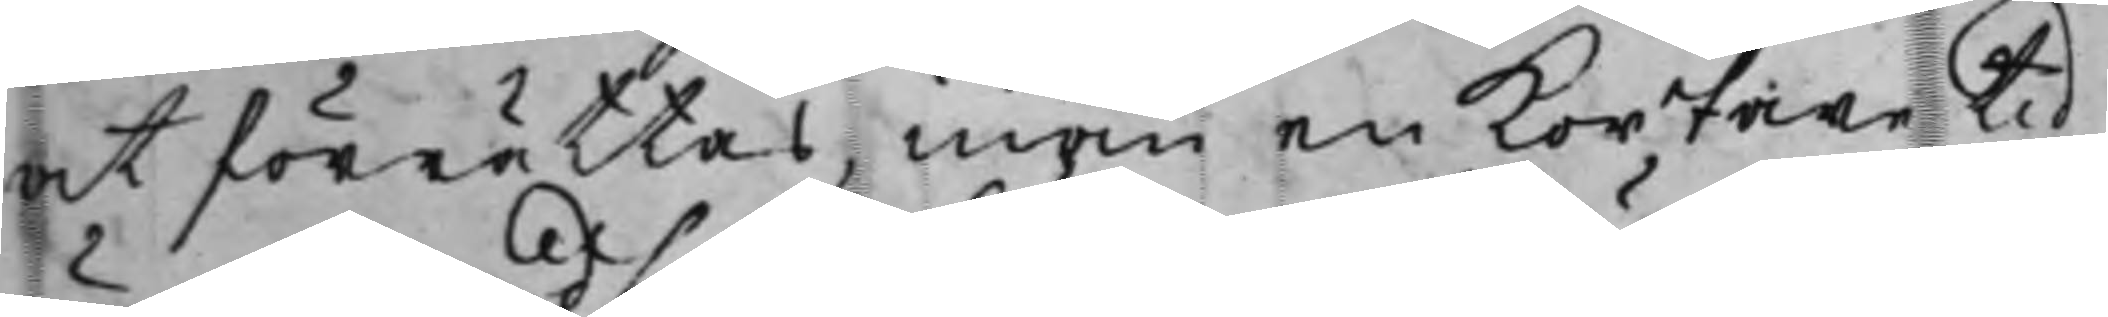at förrättas, inom en kortare tid
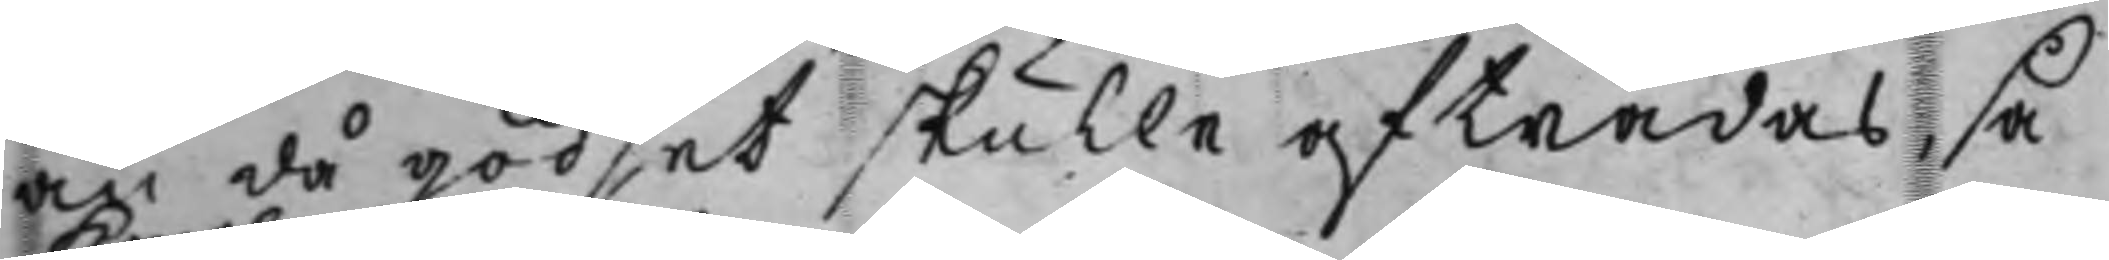än då godset skulle afträdas, så
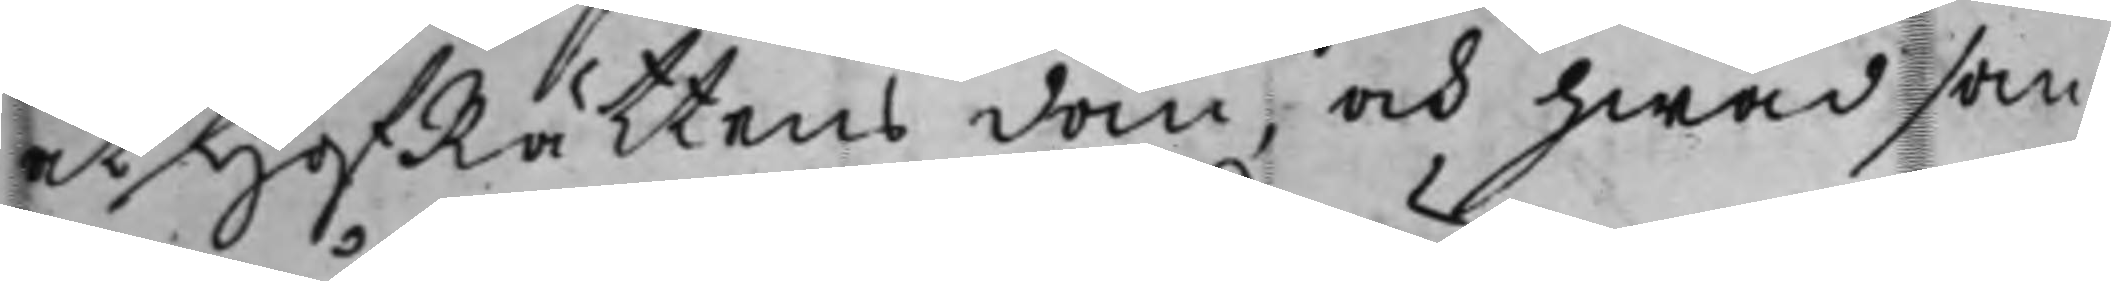at HofRättens dom, och hwad som
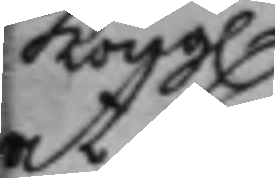Kong.
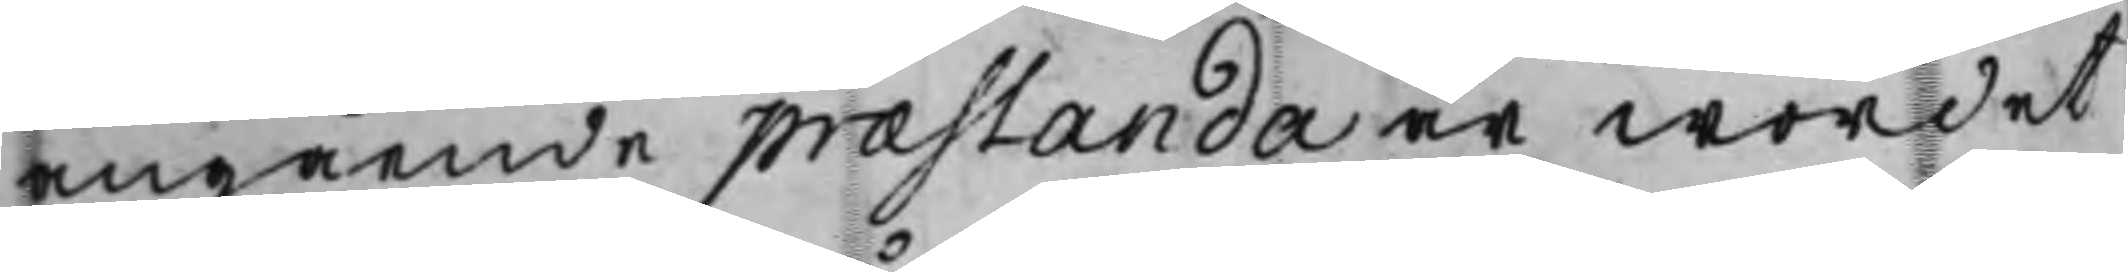angående præstanda är wordet
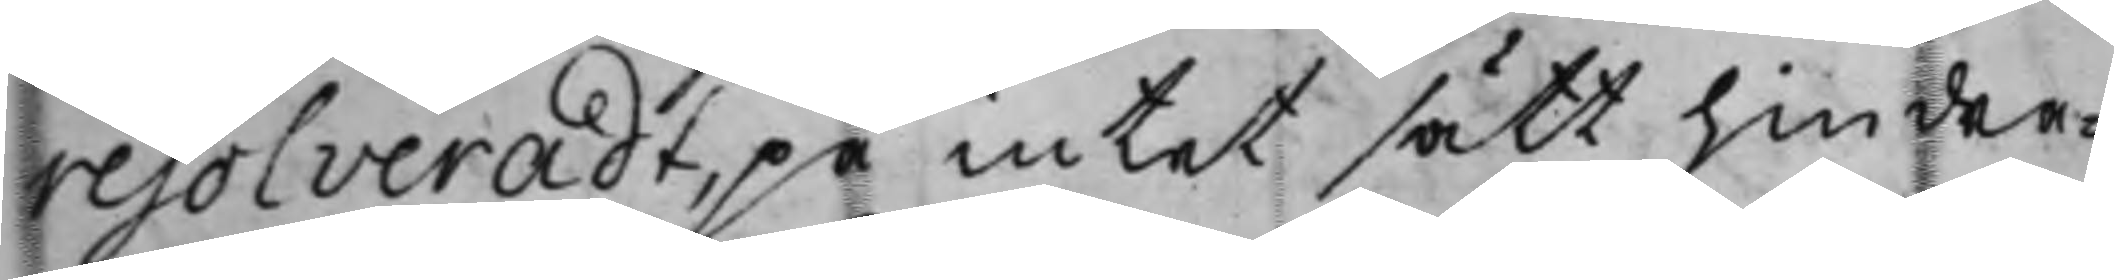resolveradt, på intet sätt hindra¬
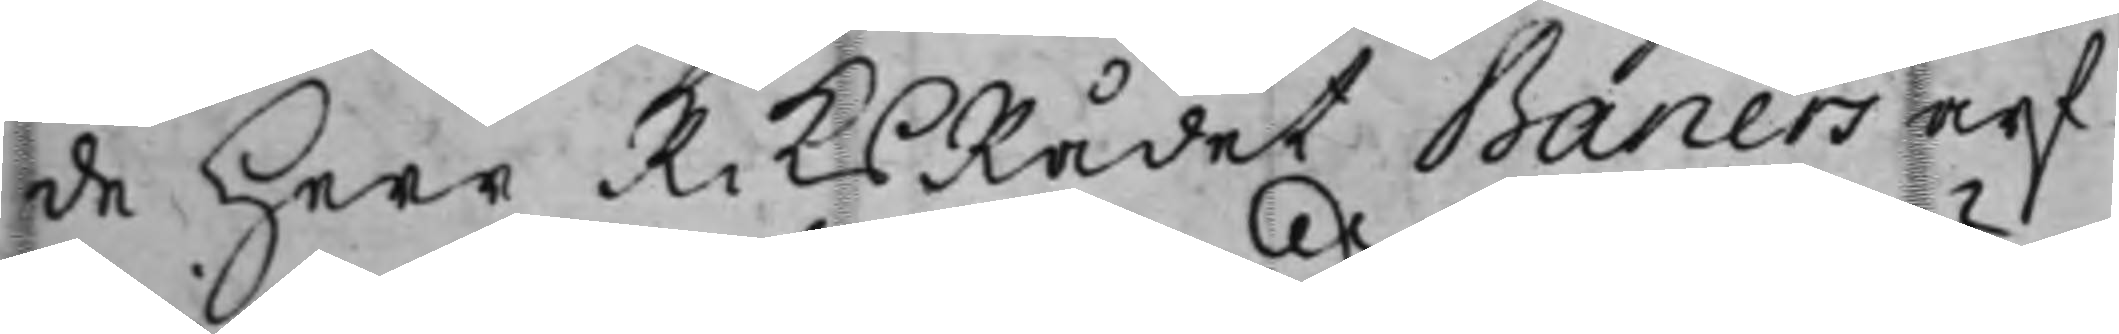de Herr RiksRådet Banérs arf¬
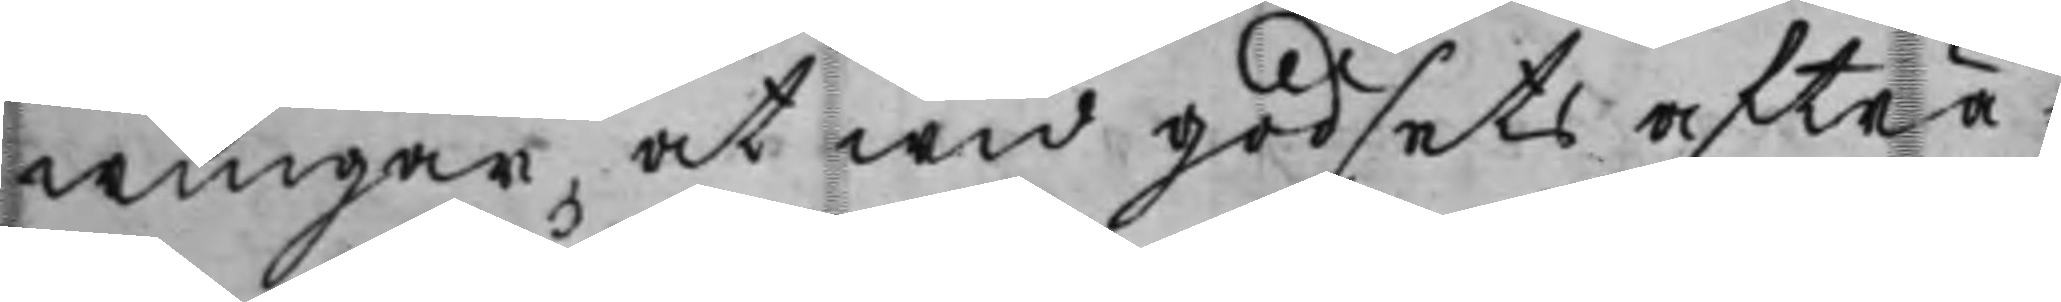wingar, at wid godsets afträ¬
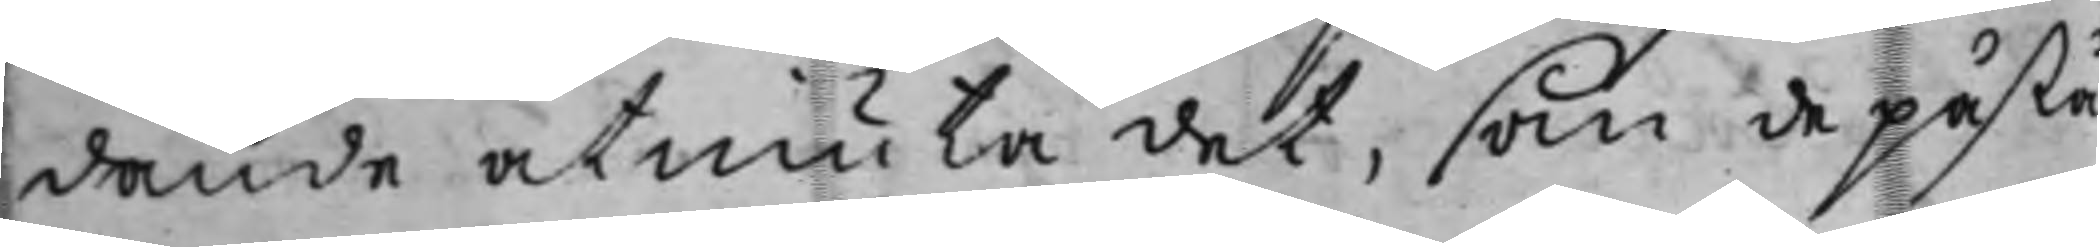dande åtniuta det, som de påstå
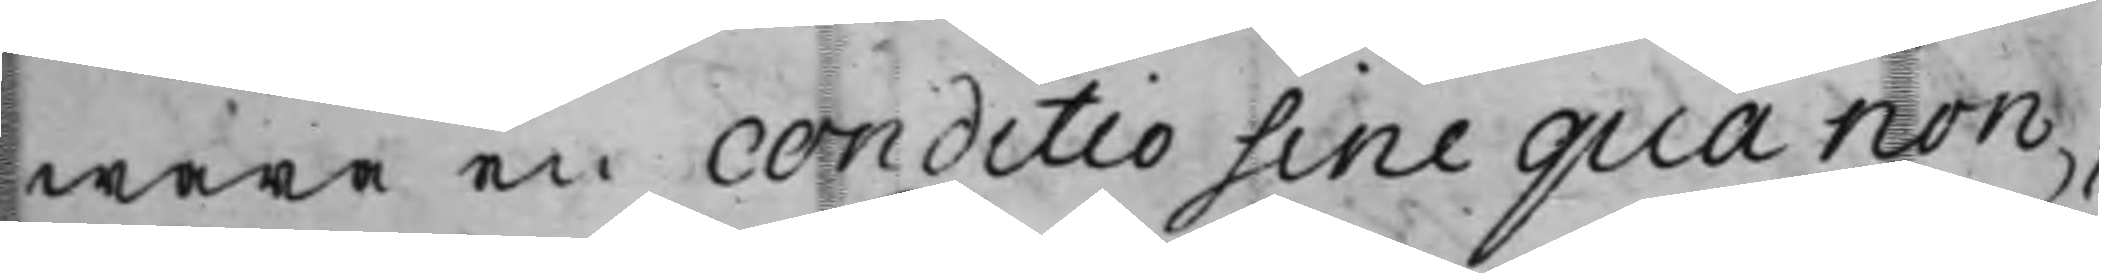wara en conditio sine qua non,
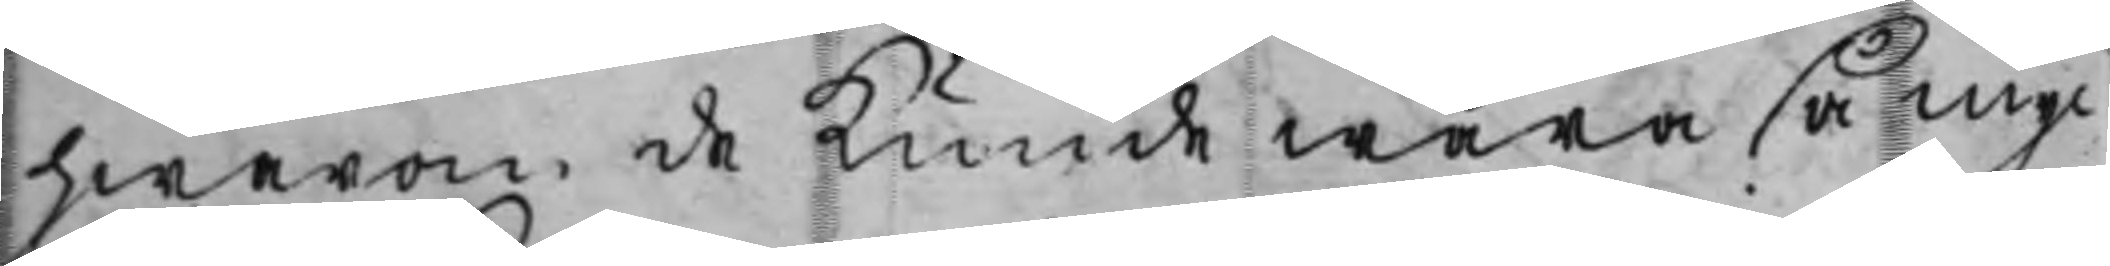hwarom de kunde wara så myc¬
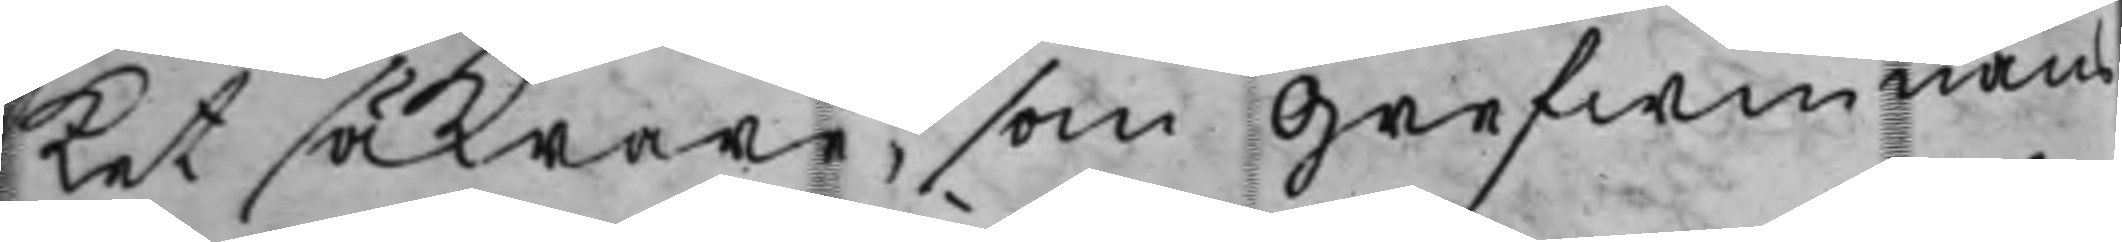ket säkrare, som Grefwinnans
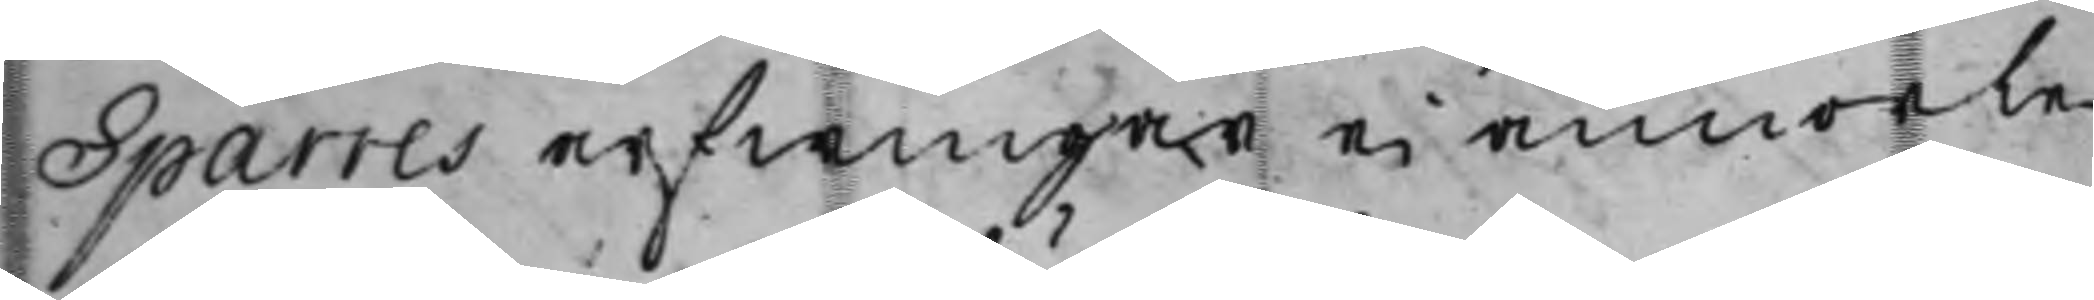Sparres arfwingar ei annorle¬
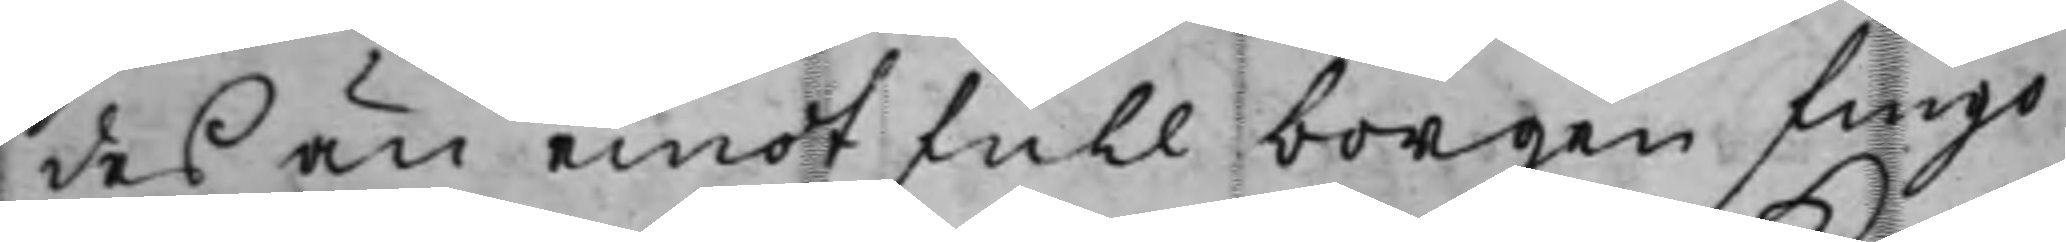des än emot full borgen fingo
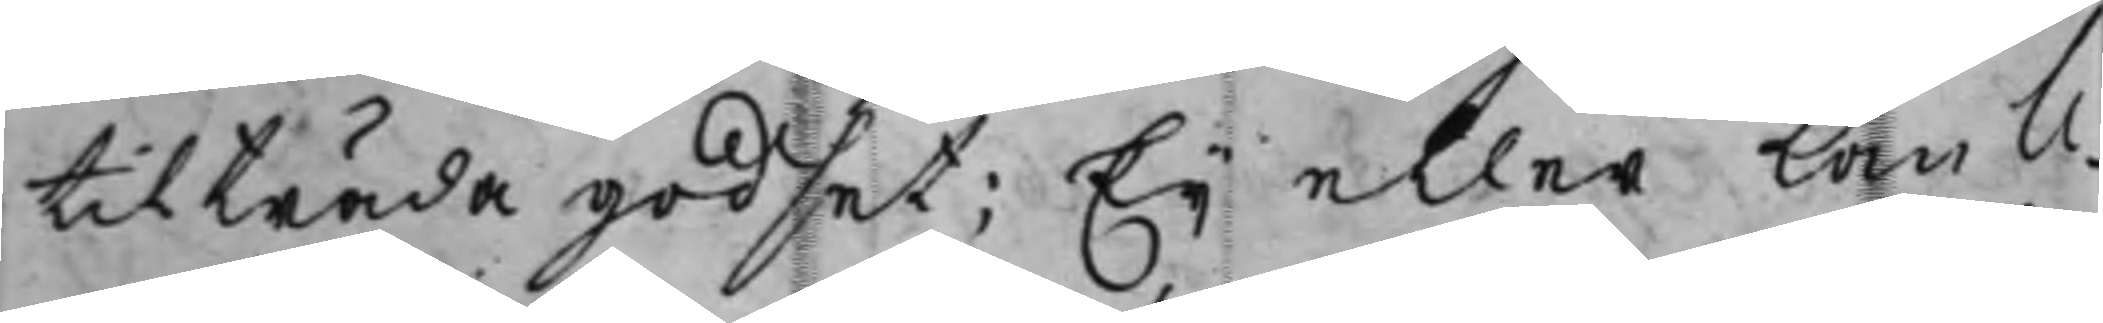tilträda godset; Eij eller kan li¬
